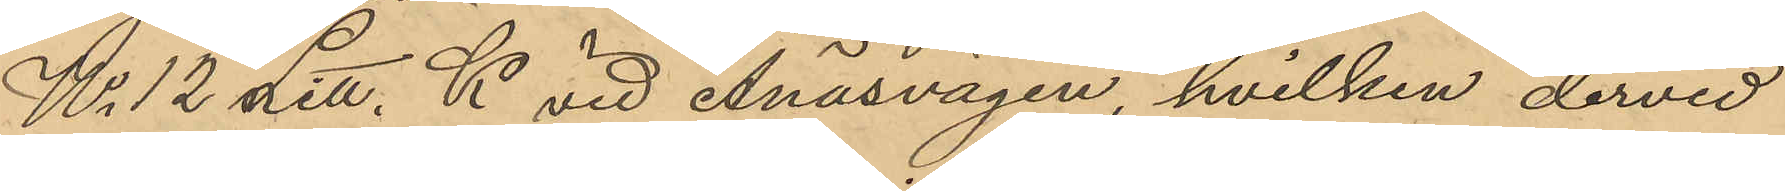No 12 Litt. K vid Ånäsvägen, hvilken dervid
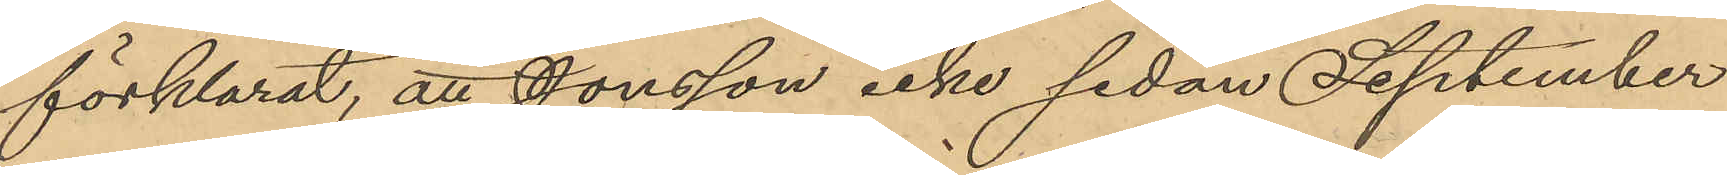förklarat, att Jonsson icke sedan September
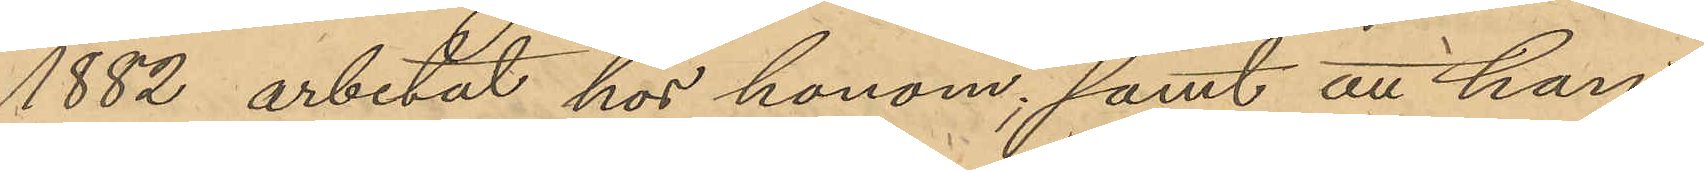1882 arbetat hos honom, samt att han
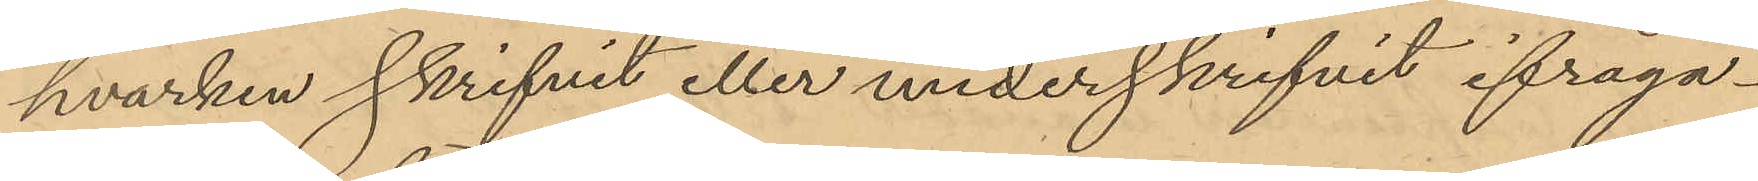hvarken skrifvit eller underskrifvit ifråga¬
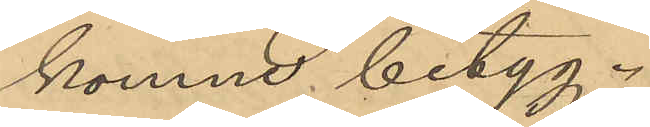komne betyg.
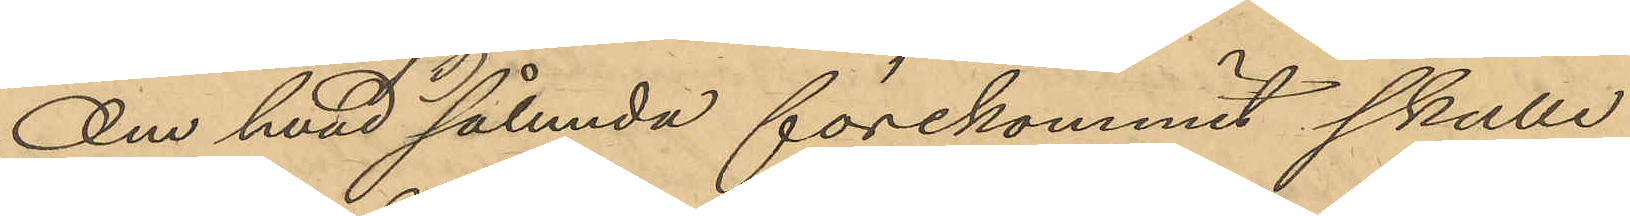Om hvad sålunda förekommit skulle
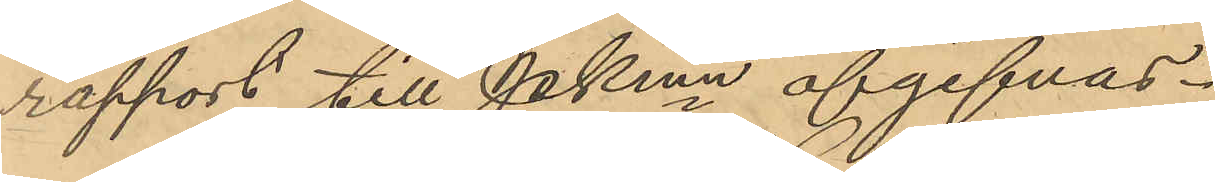rapport till Pkmn afgifvas.
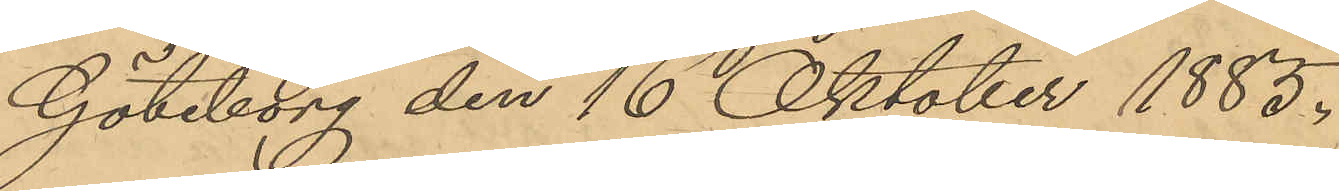Göteborg den 16 Oktober 1885.
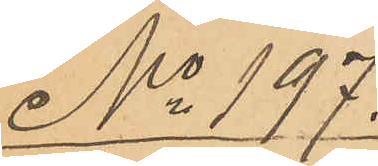No 197.
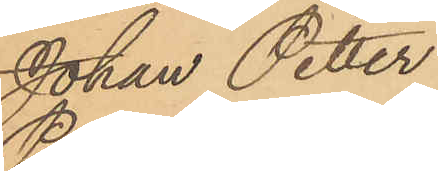Johan Petter
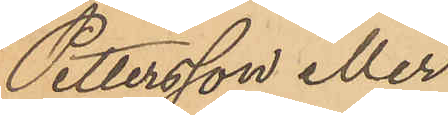Pettersson eller
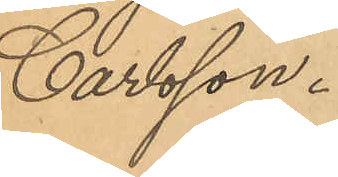Carlsson.
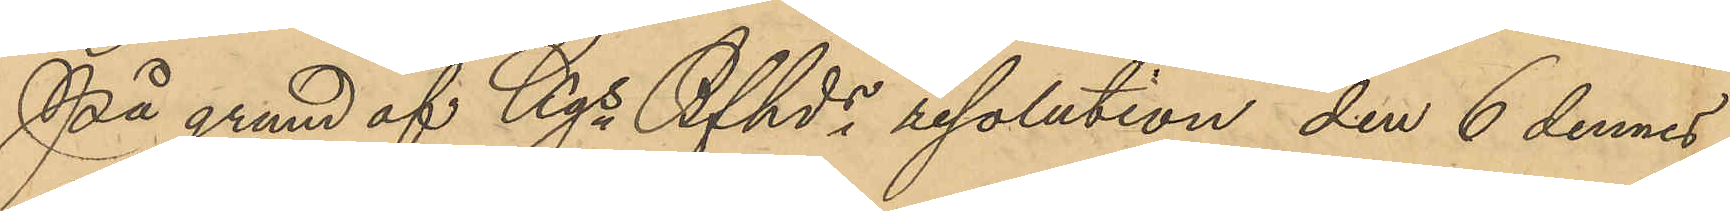På grund af Kgs Bfhds resolution den 6 dennes
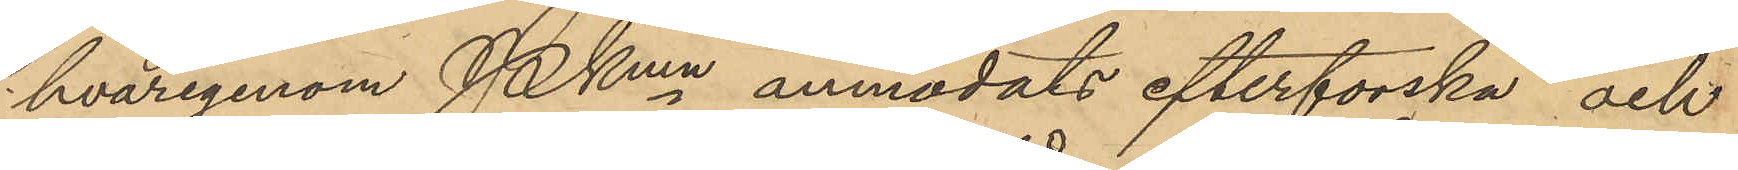hvarigenom Pkmn anmodats efterforska och
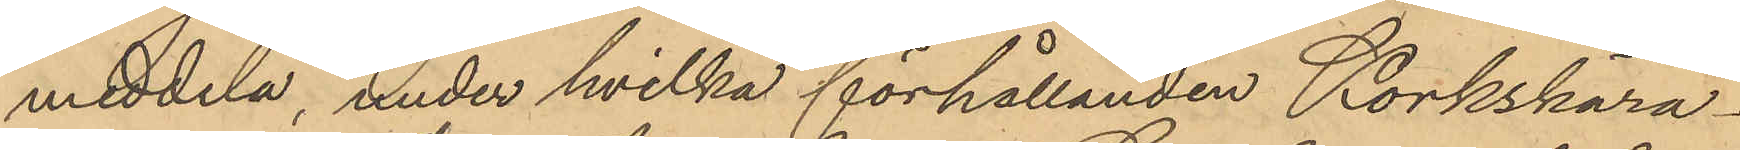meddela, under hvilka förhållanden Korkskära¬
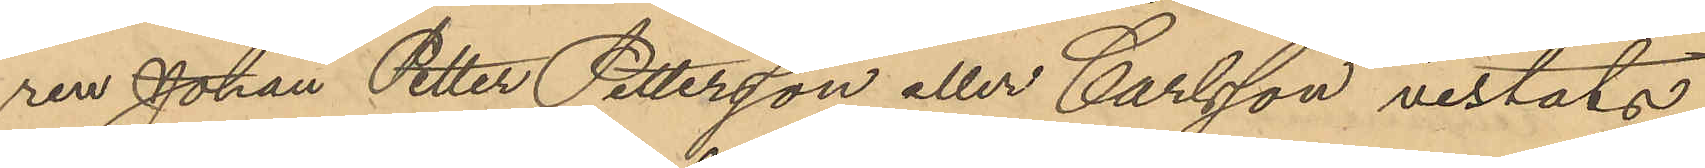ren Johan Petter Petterson eller Carlsson vistats
